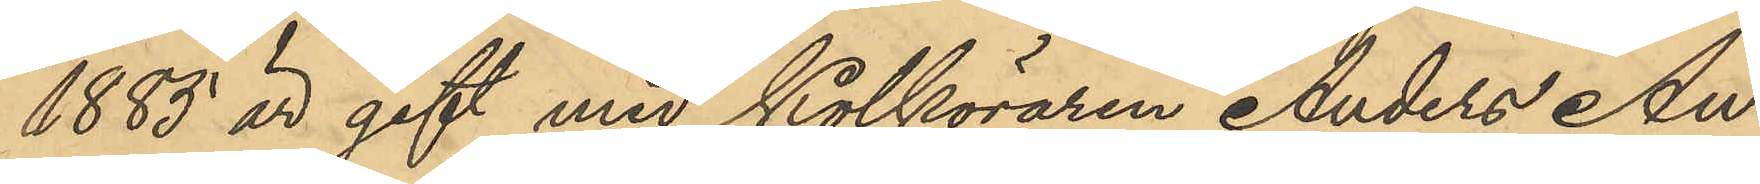1883 är gift med Kolköraren Anders An¬
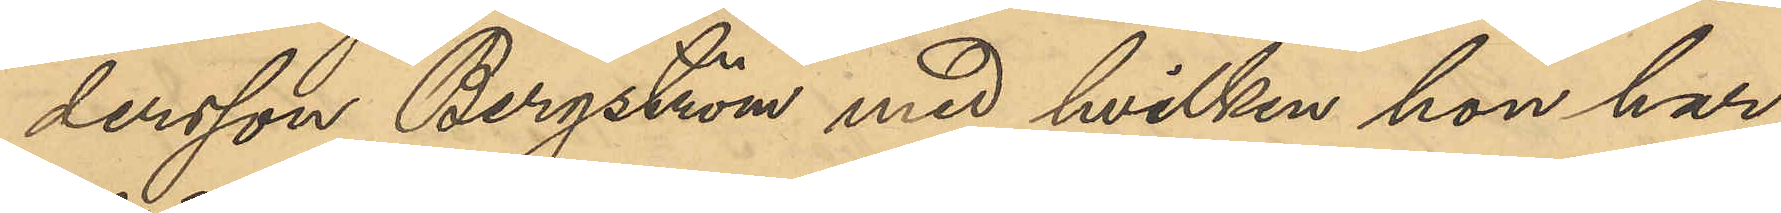dersson Bergström med hvilken hon har
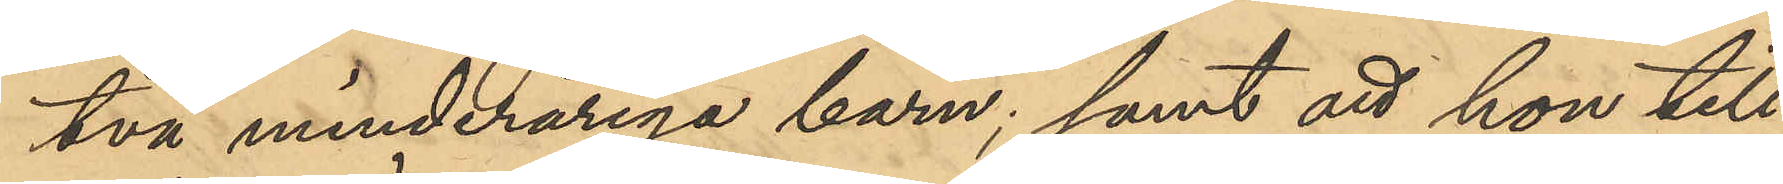två minderåriga barn; samt att hon till¬
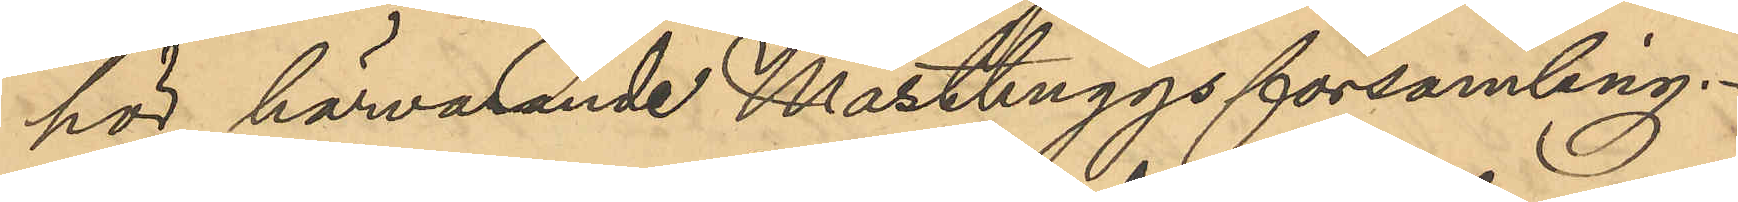hör härvarande Masthuggsförsamling.
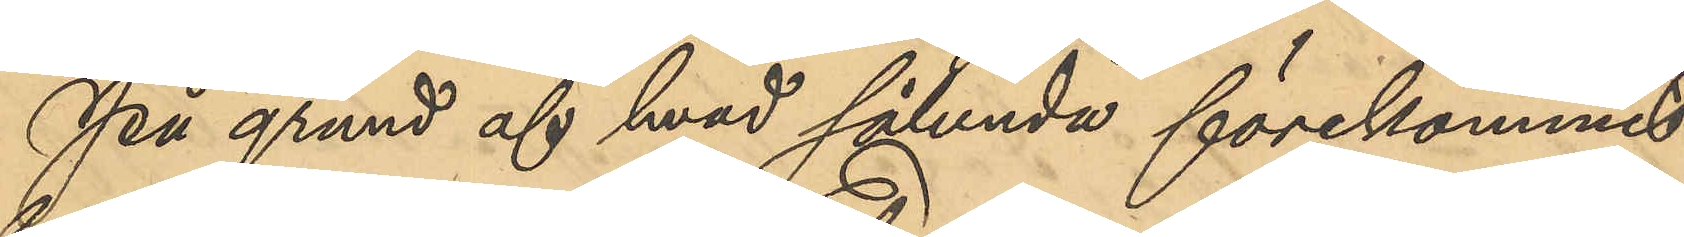På grund af hvad sålunda förekommit
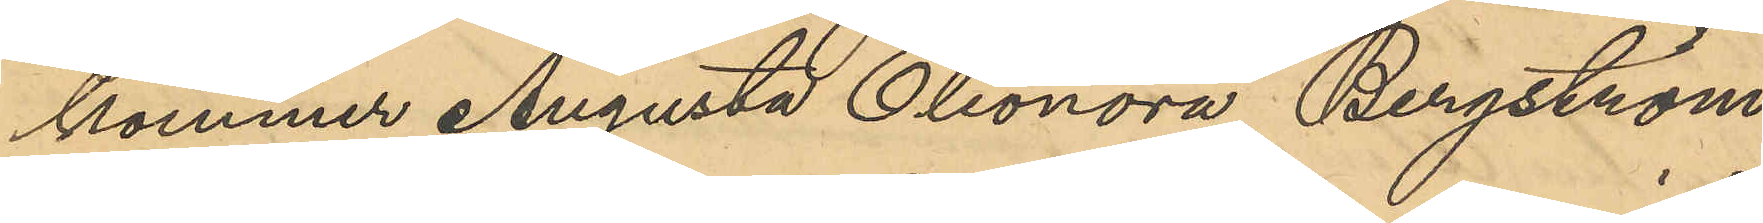kommer Augusta Eleonora Bergström
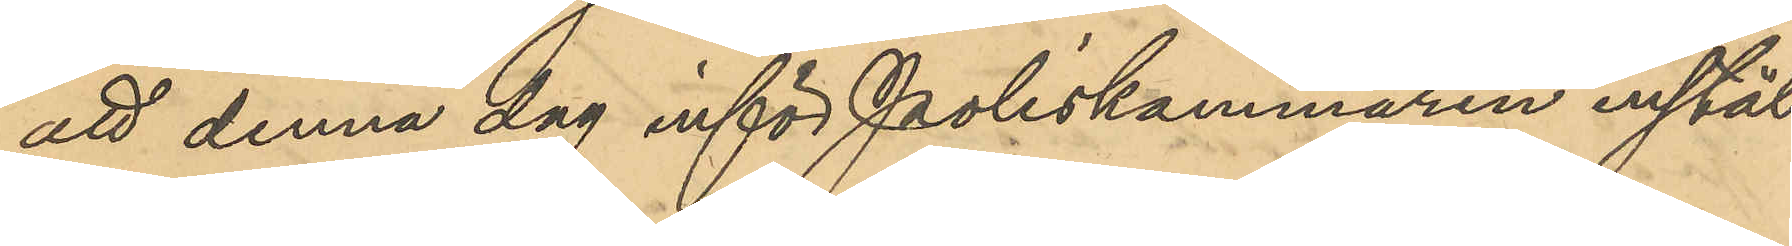att denna dag inför Poliskammaren instäl¬
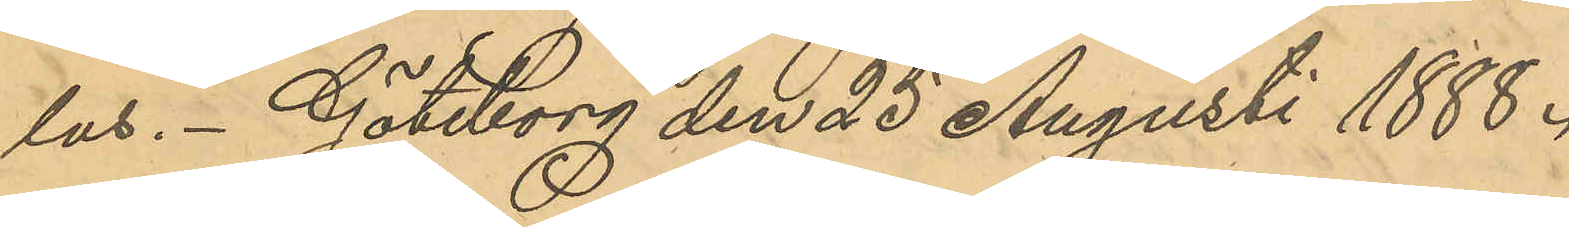las. Göteborg den 25 Augusti 1888.
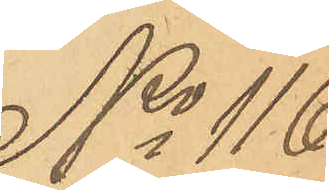No 116
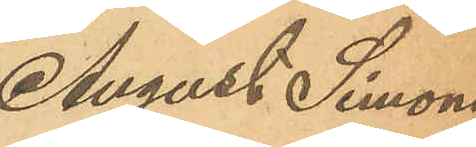August Simons¬
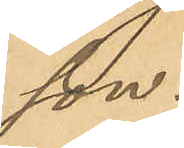son.
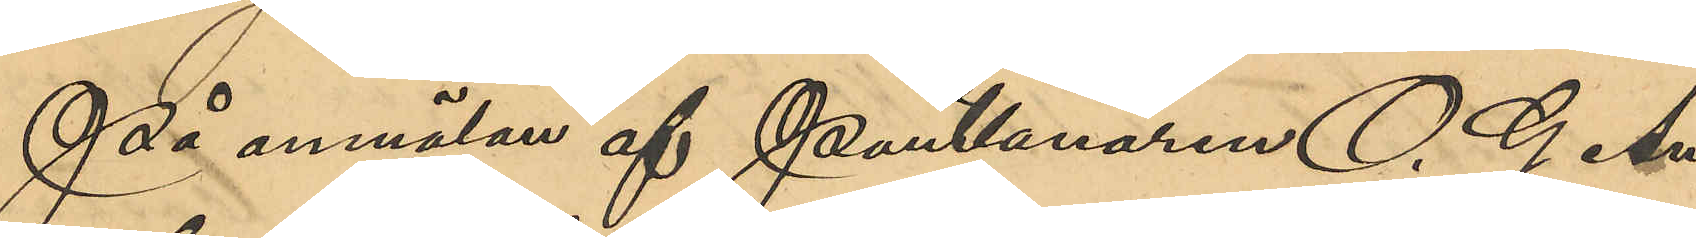På anmälan af Pantlånaren O. G. An¬
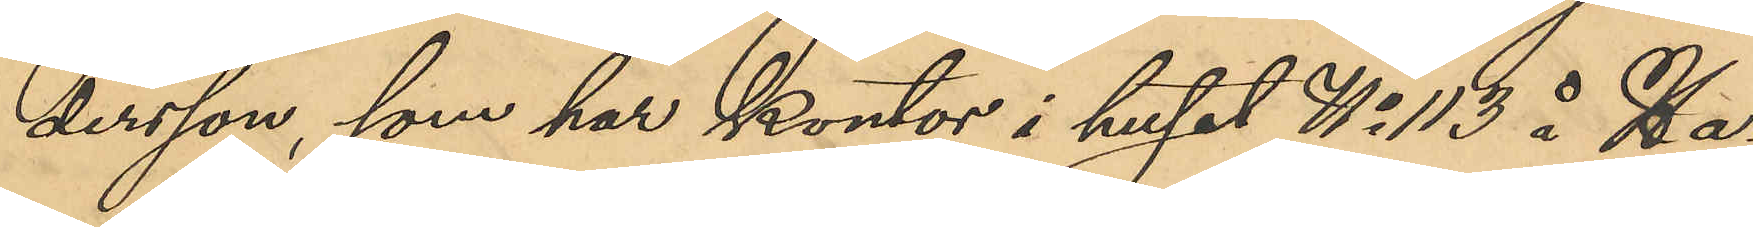dersson, som har kontor i huset No 113 å Ha¬
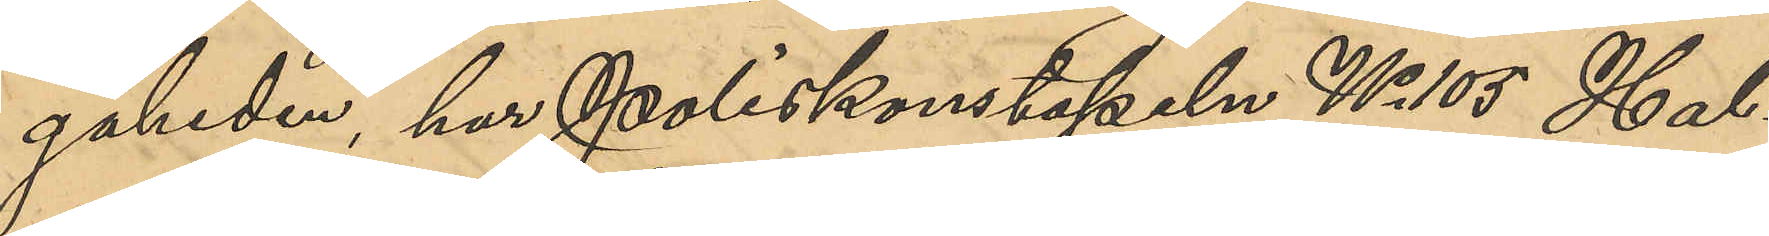gaheden, har Poliskonstapeln No 105 Hal¬
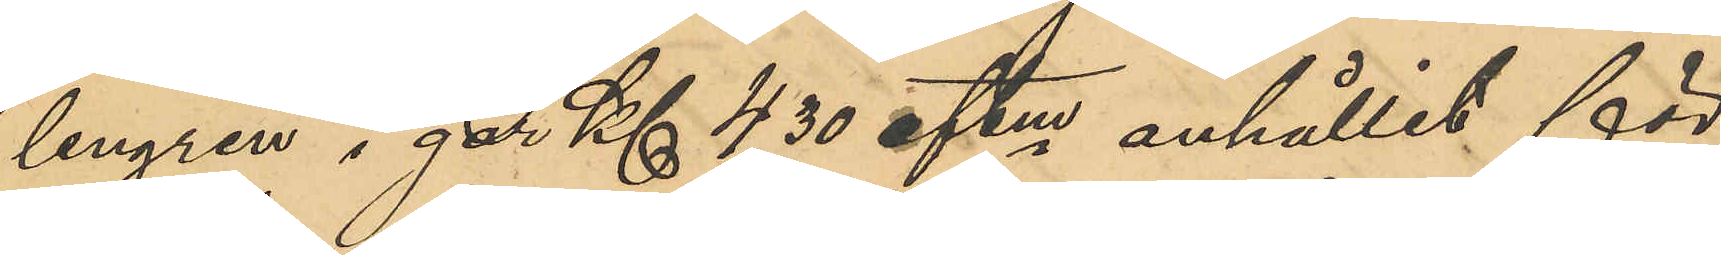lengren i går Kl 4,30 eftm anhållit för
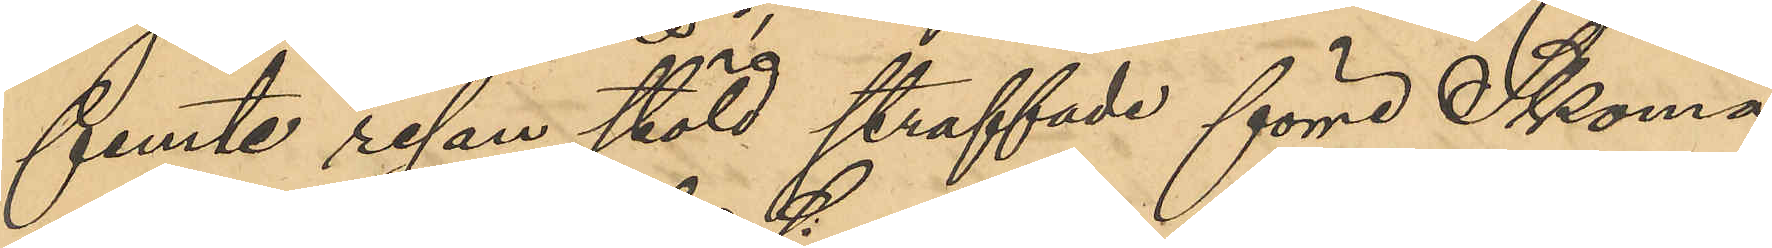femte resan stöld straffade förre Skoma¬
